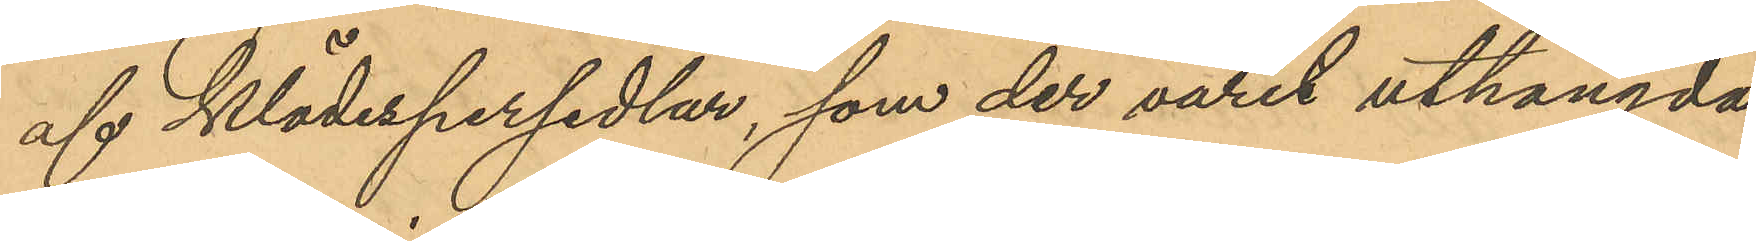af klädespersedlar, som der varit uthängda
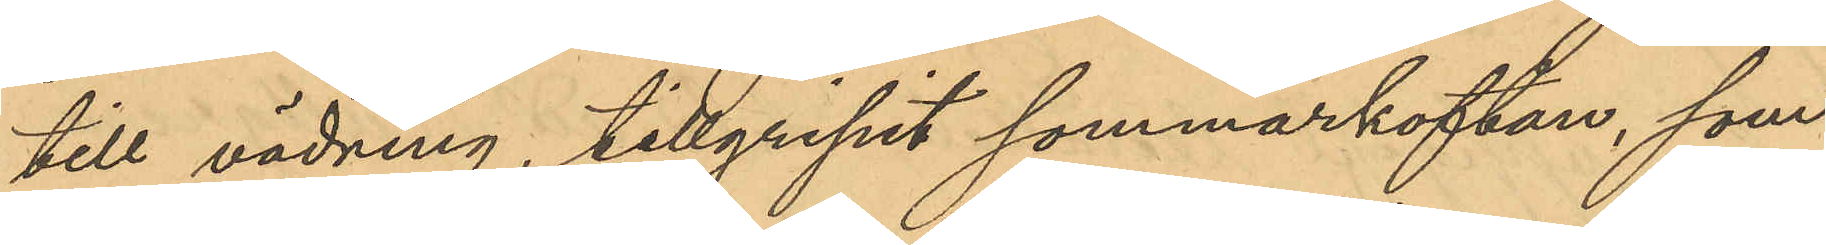till vädring, tillgripit sommarkoftan, som
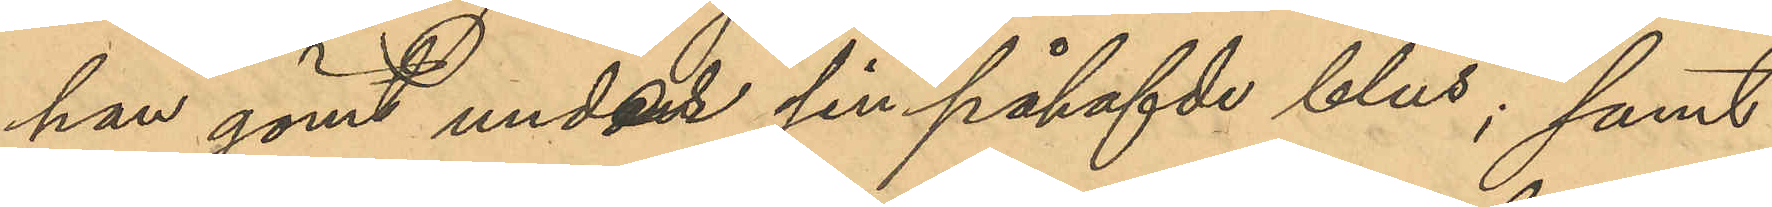han gömt under sin påhafvde blus; samt
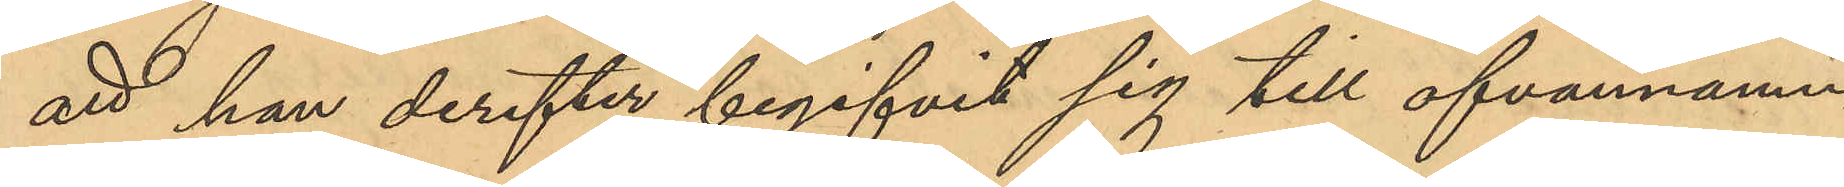att han derefter begifvit sig till ofvannämn¬
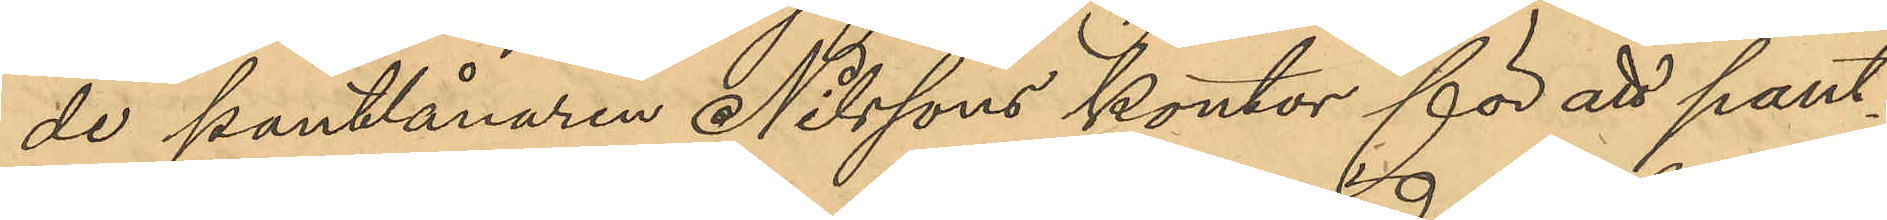de pantlånaren Nilssons kontor för att pant¬
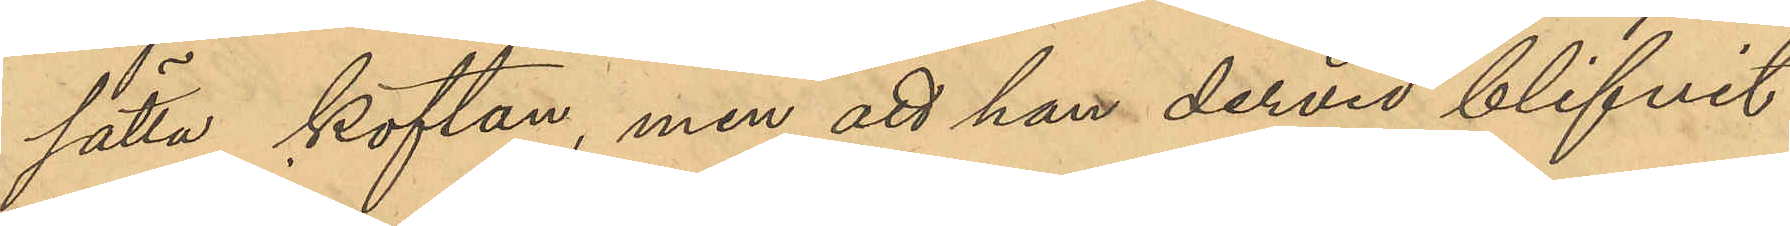sätta koftan, men att han dervid blifvit
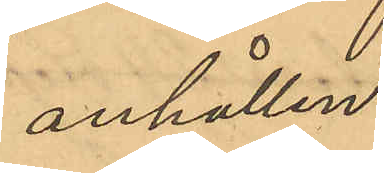anhållen.
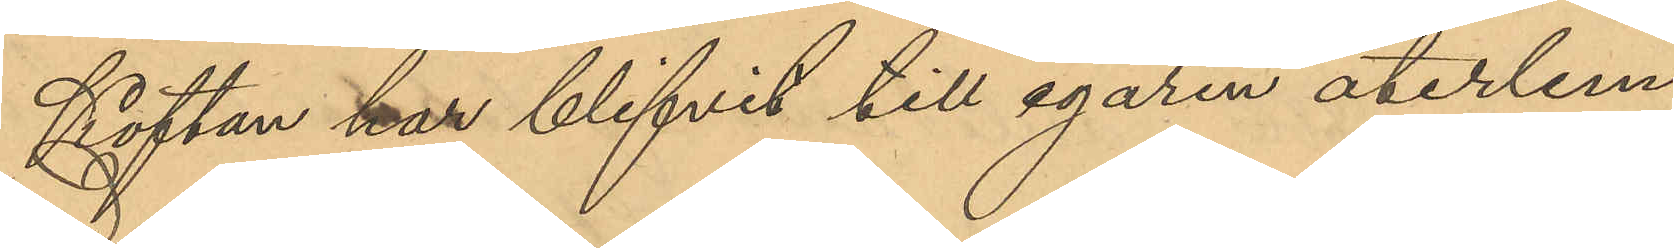Koftan har blifvit till egaren återlem¬
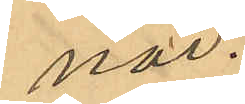nad.
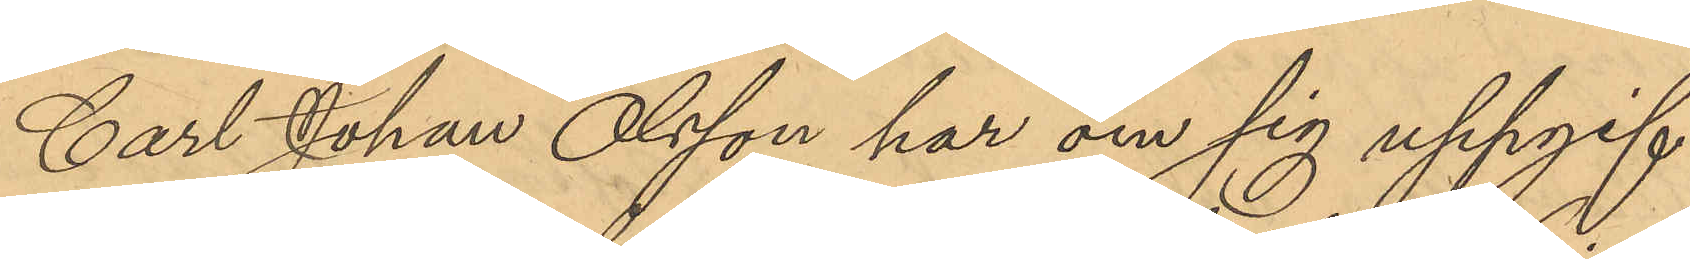Carl Johan Olsson har om sig uppgif¬
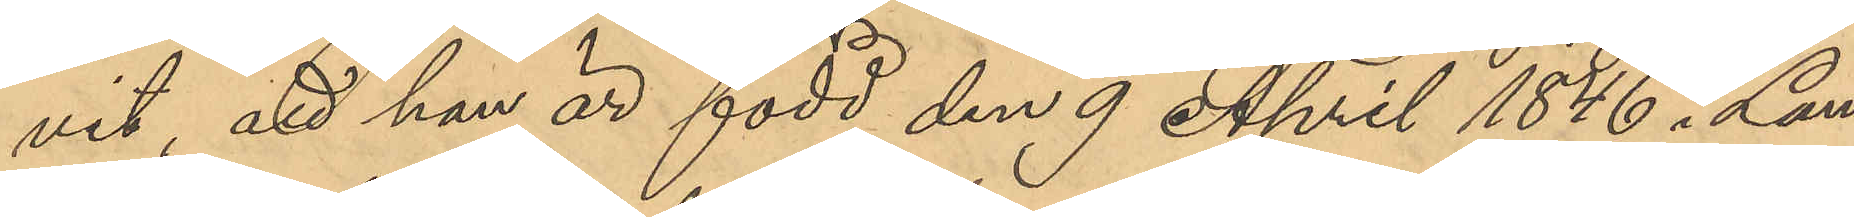vit, att han är född den 9 April 1846 i Lån¬
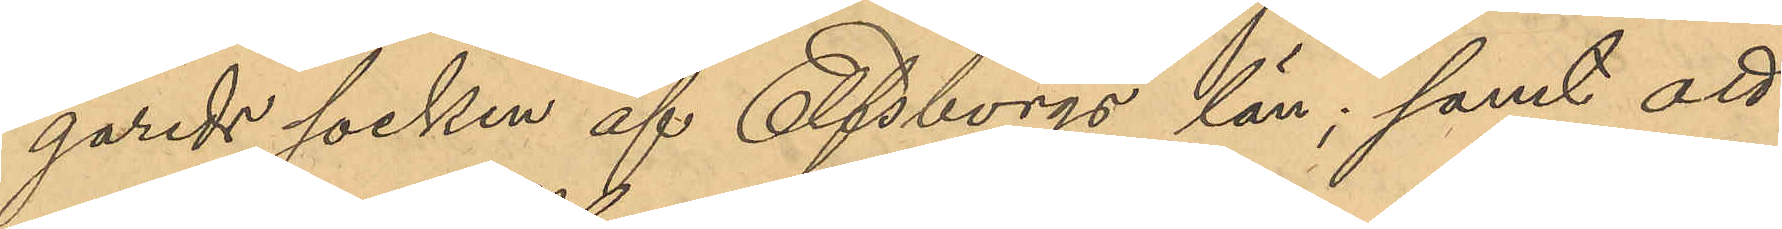gareds socken af Elfsborgs län; samt att
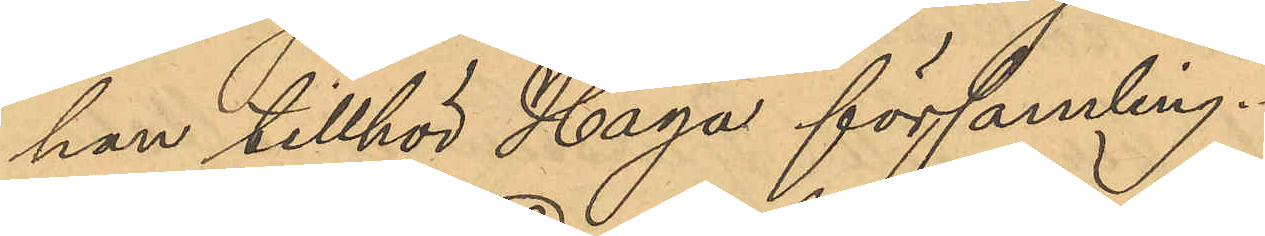han tillhör Haga församling.
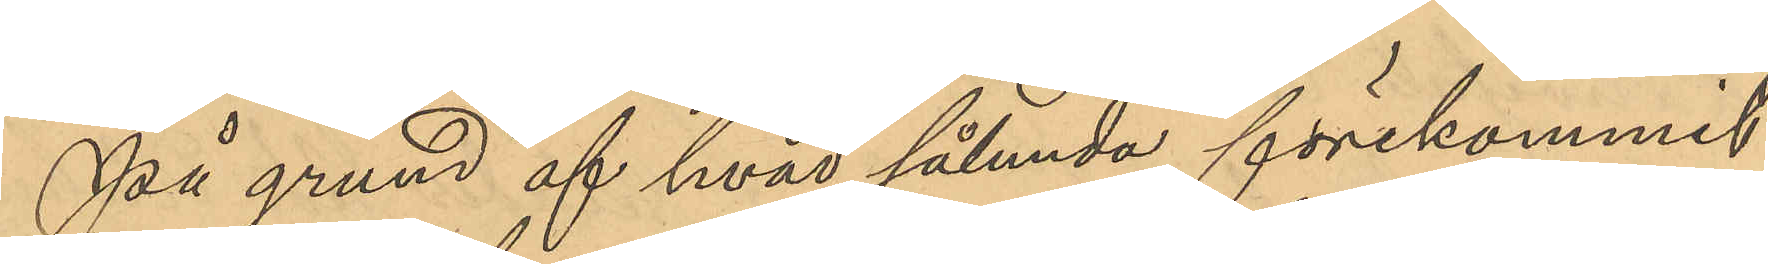På grund af hvad sålunda förekommit
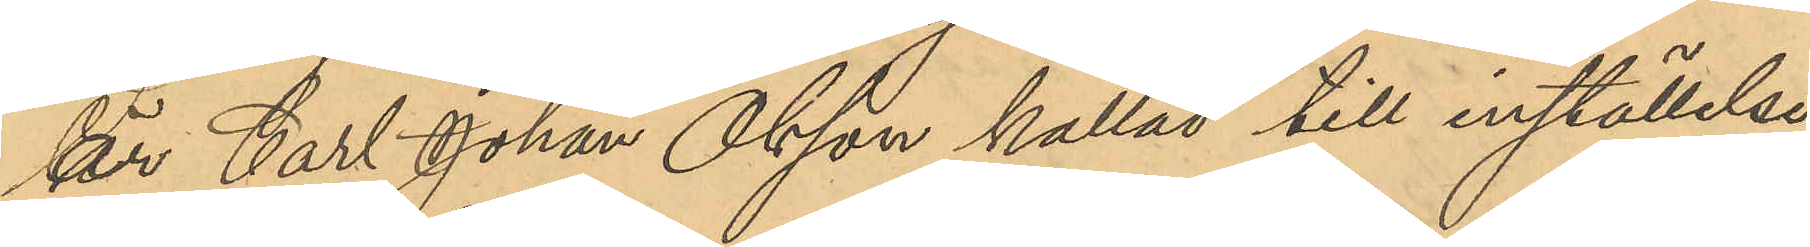är Carl Johan Olsson kallad till inställelse
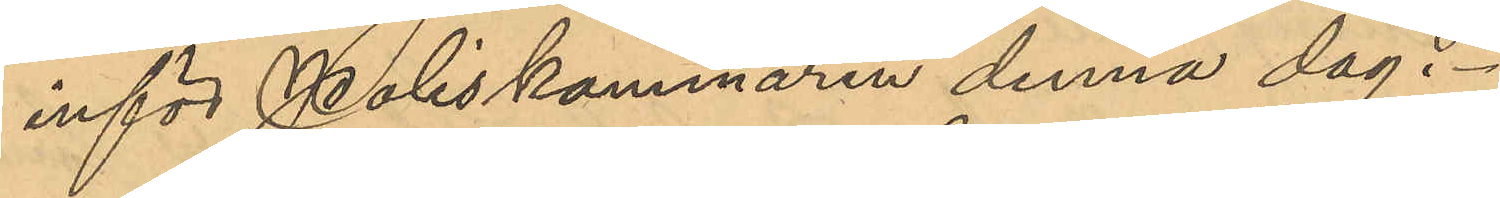inför Poliskammaren denna dag.
